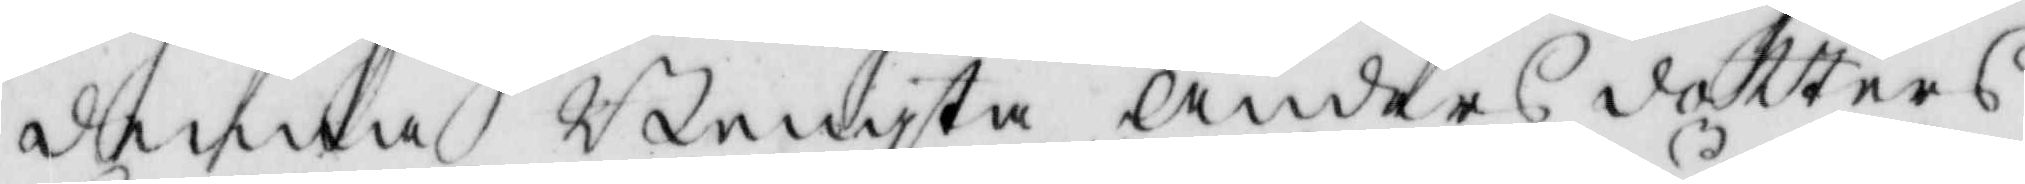denna Bengta Anders dotters
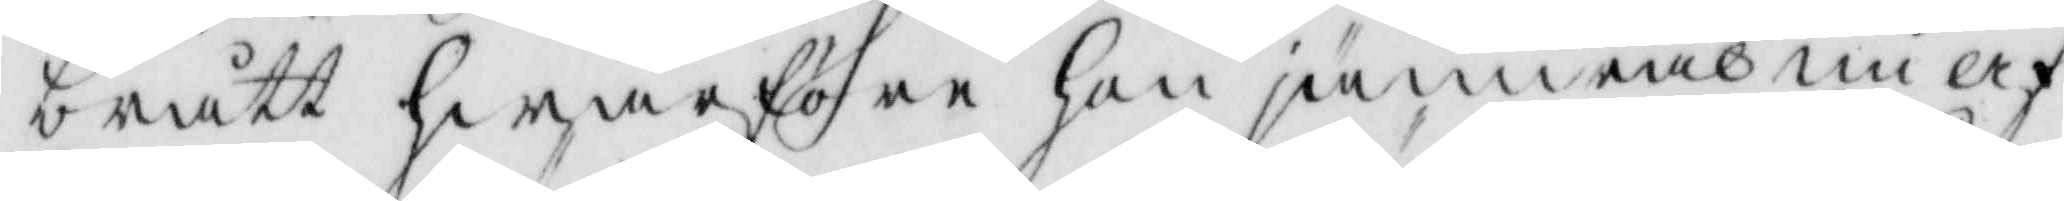brått hwarföre hon jämwäl nu af
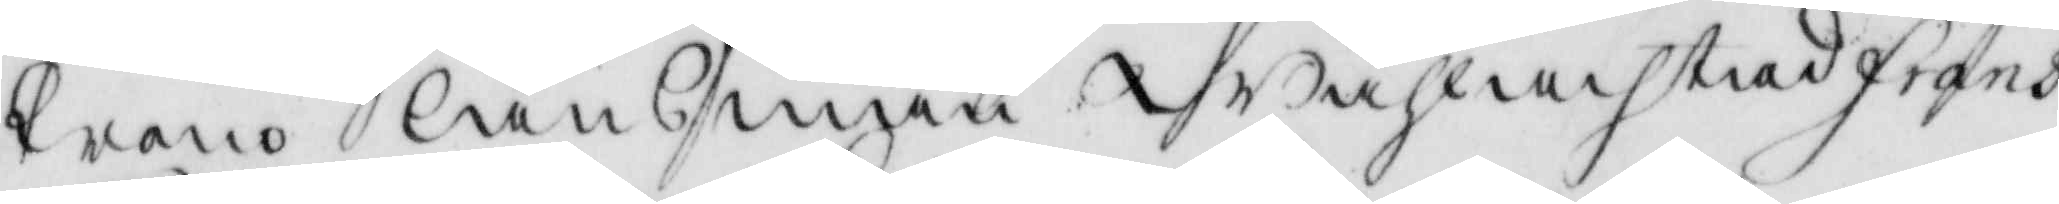krono länsman Wählachtad Frans
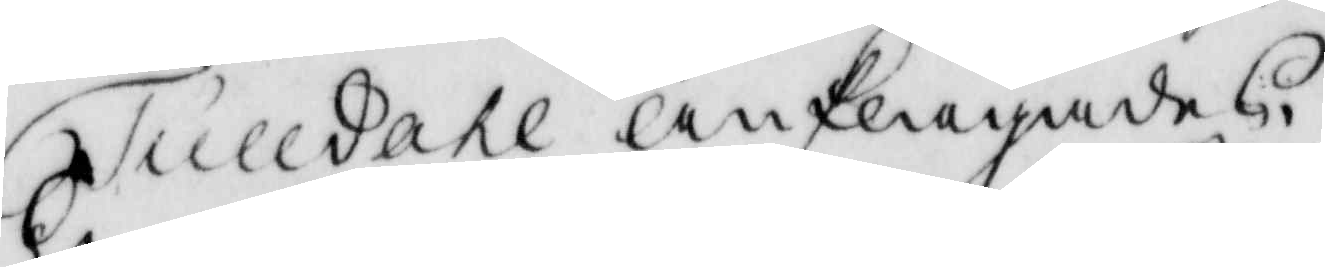Tulldahl anklagades.
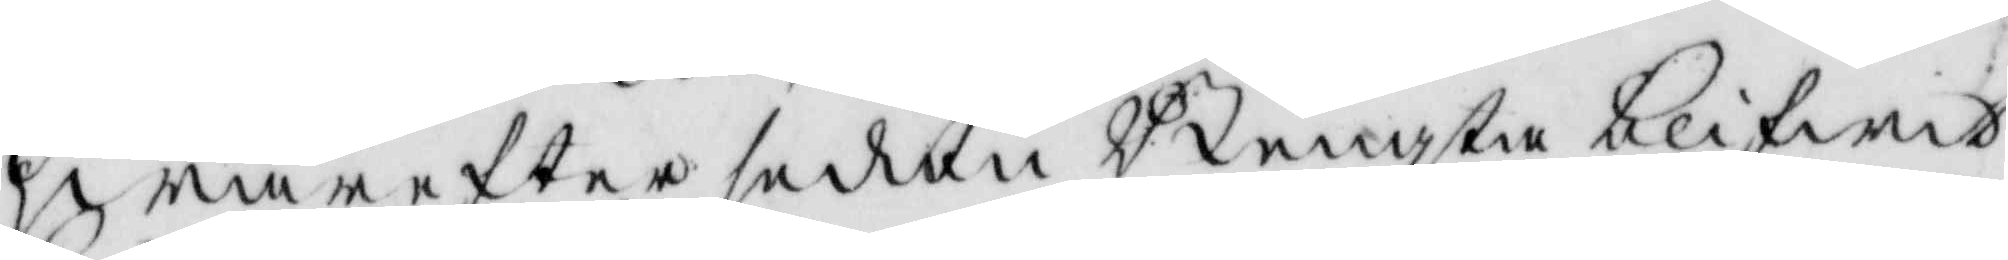hwarefter sedan Bengta blifwit
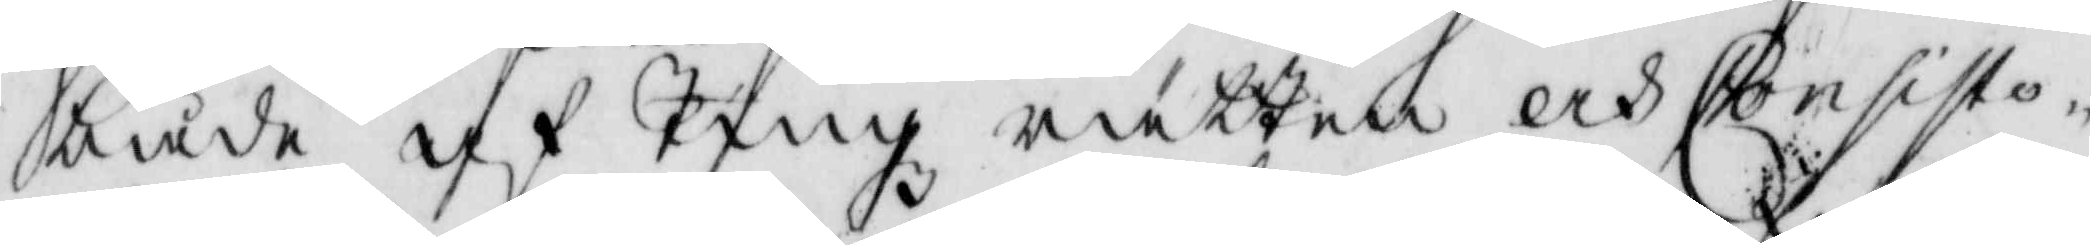både af Tingz rätten och Consisto¬
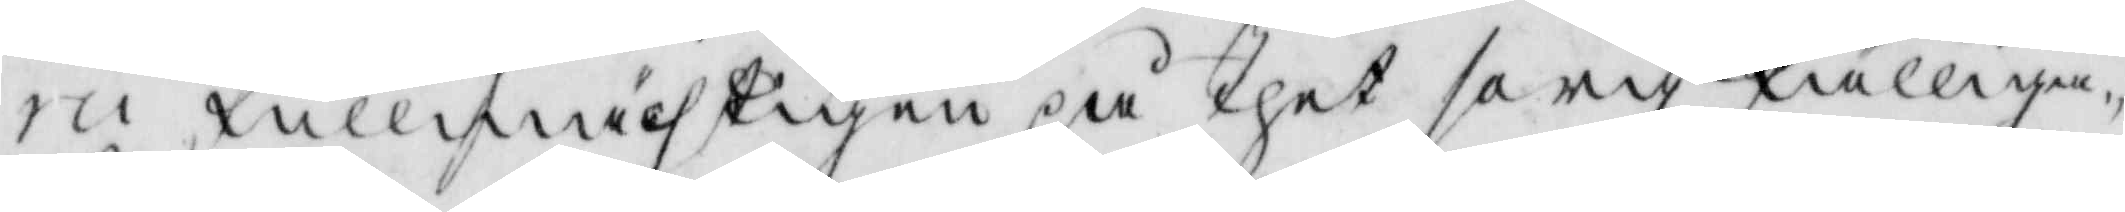rii fullmächtigen på thet sorg fälliga¬
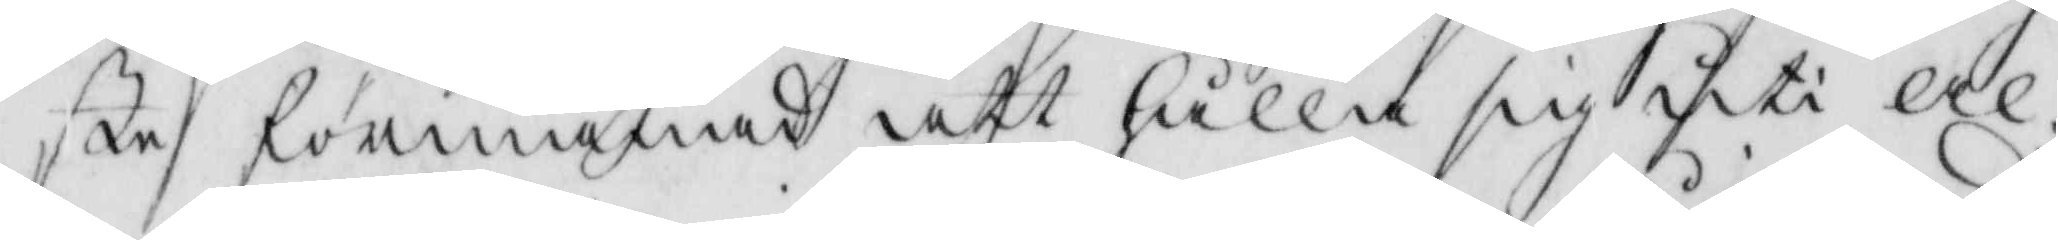ste förmanad att hålla sig uti al-
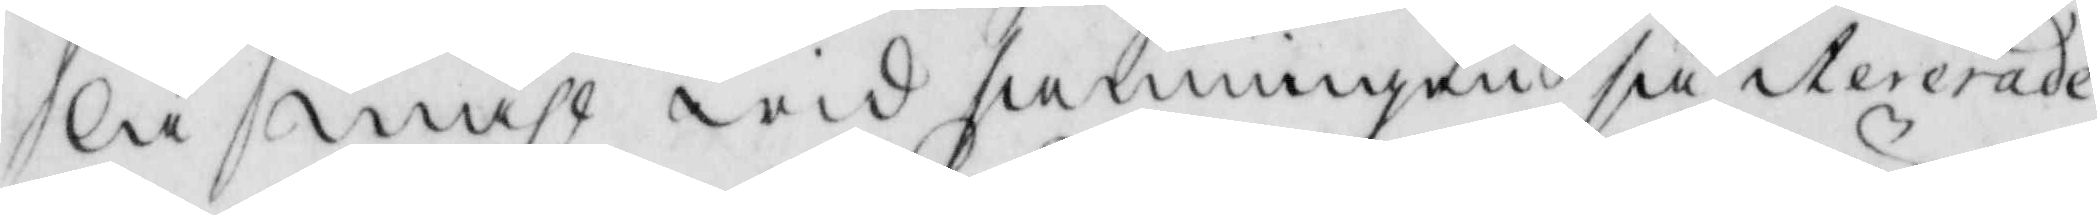la måhl wid sanningen så iterade
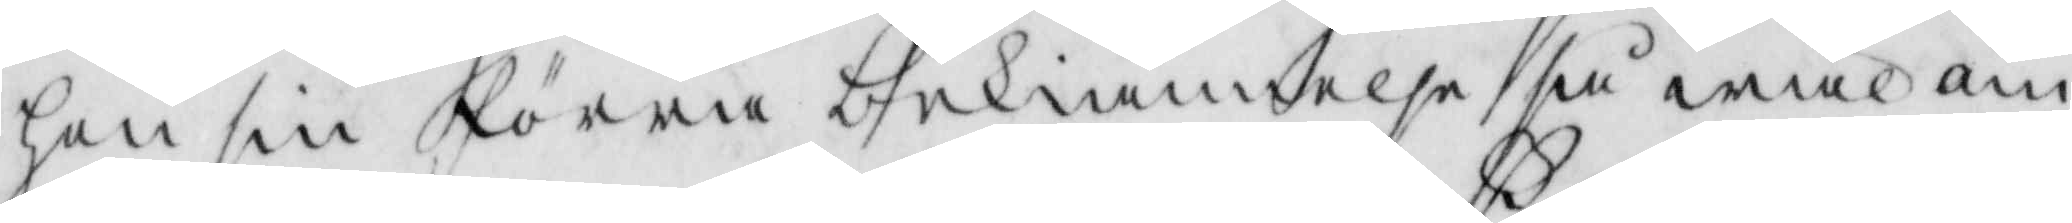hon sin förra bekiännelse så wäl om
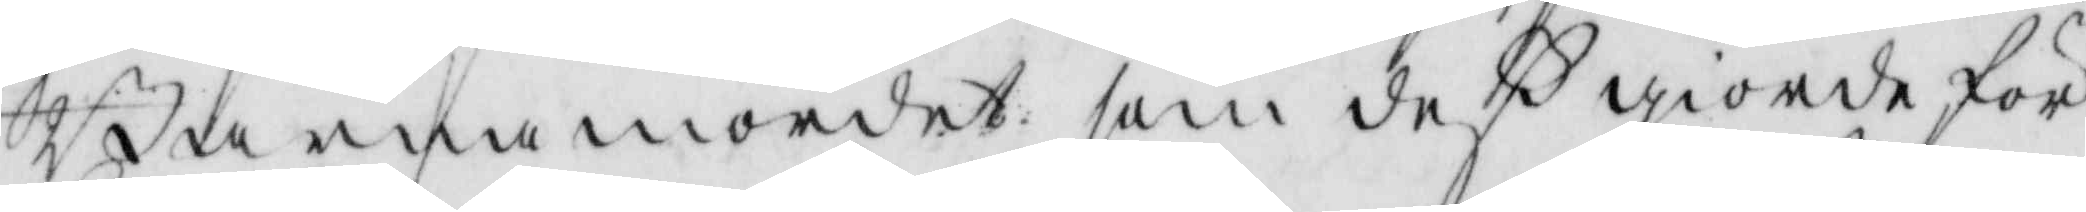Barnamordet, som deß giorde för¬
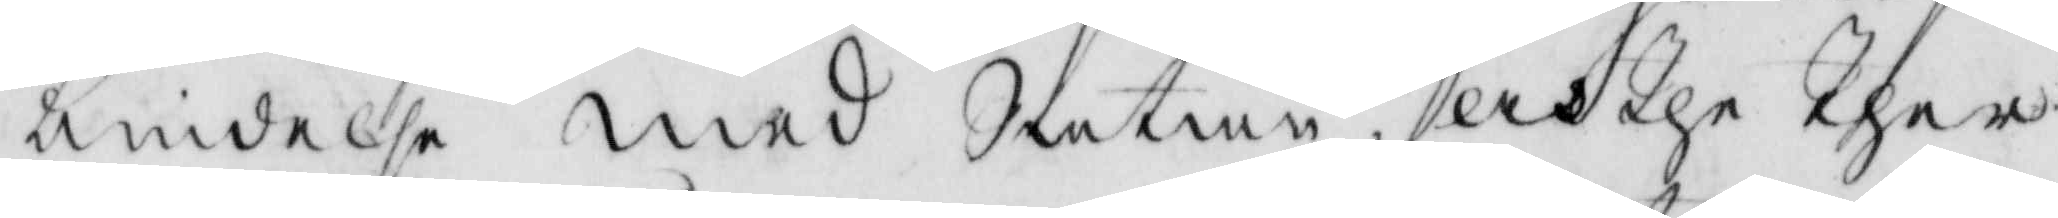bindelse med Satan, och the ther
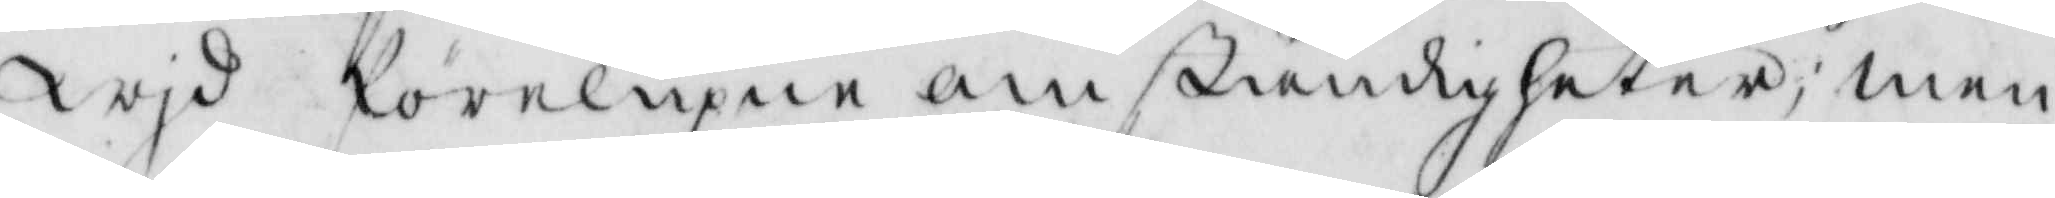Wjd förelupne omständigheter; men
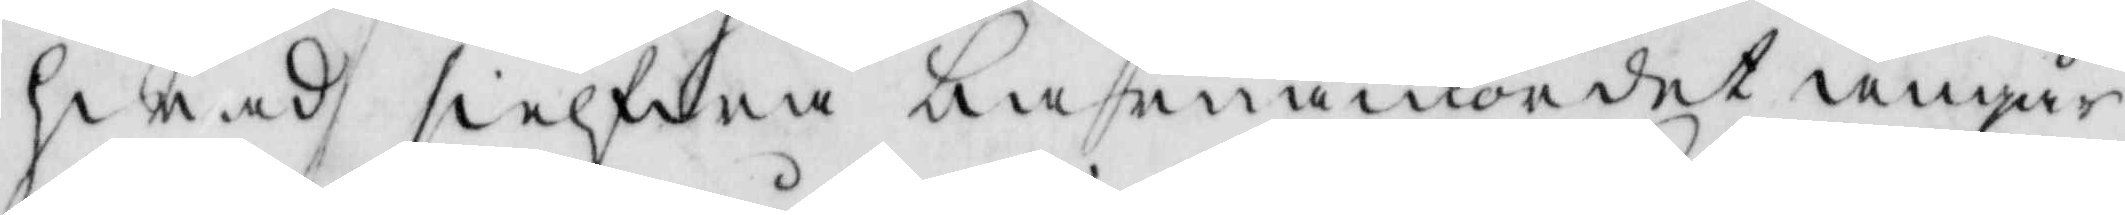hwad sielfwa barnamordet angår
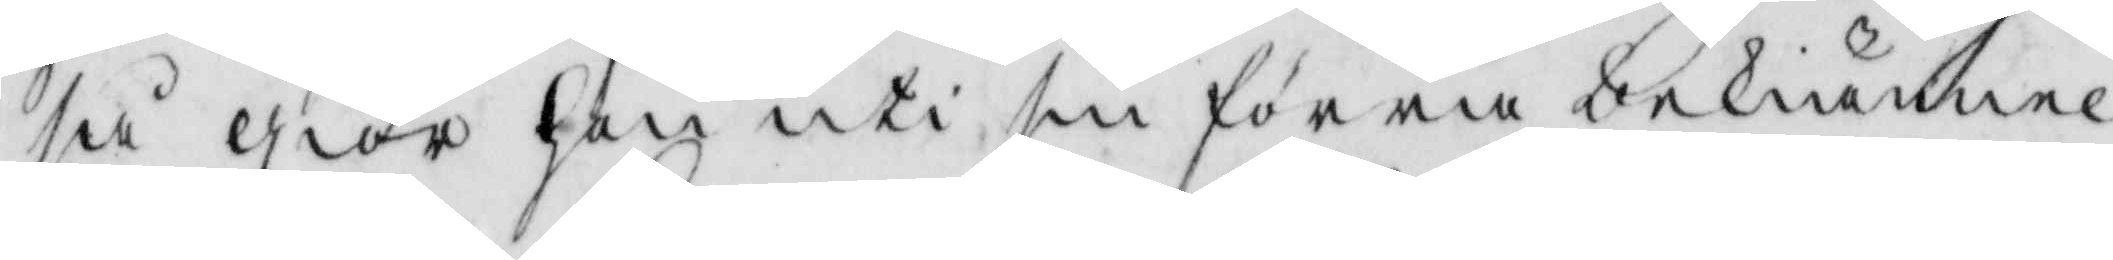så giör hon uti sin förra bekiännel¬
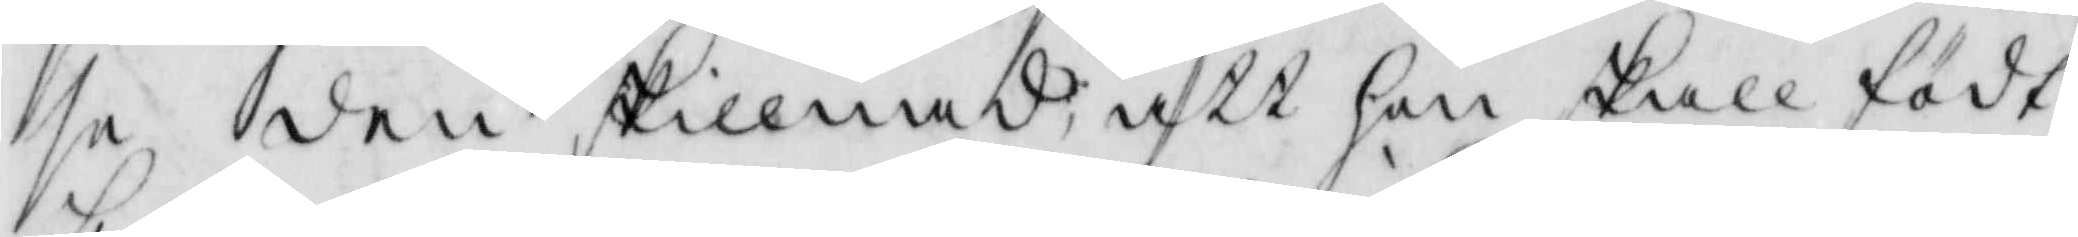se den skillnad, att hon skall födt
